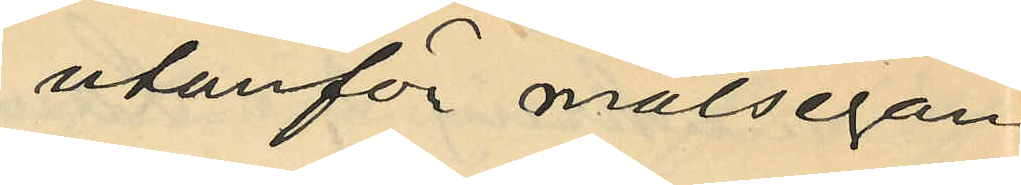utanför målsegan¬
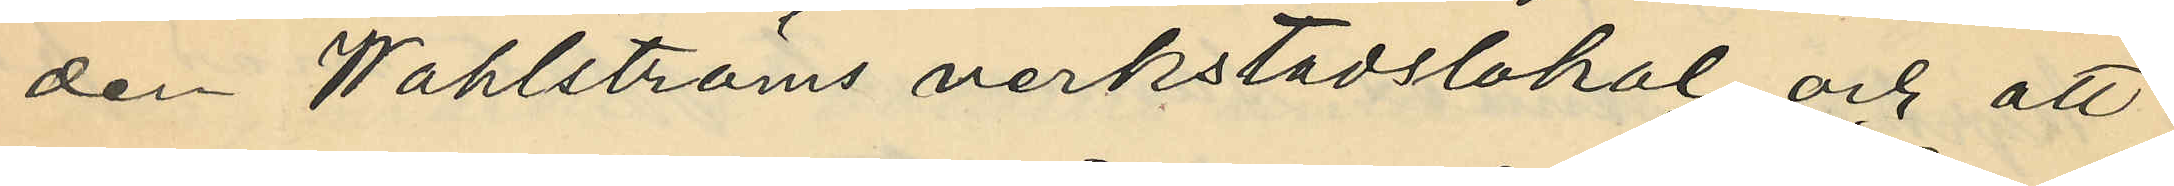den Wahlströms verkstadslokal och att
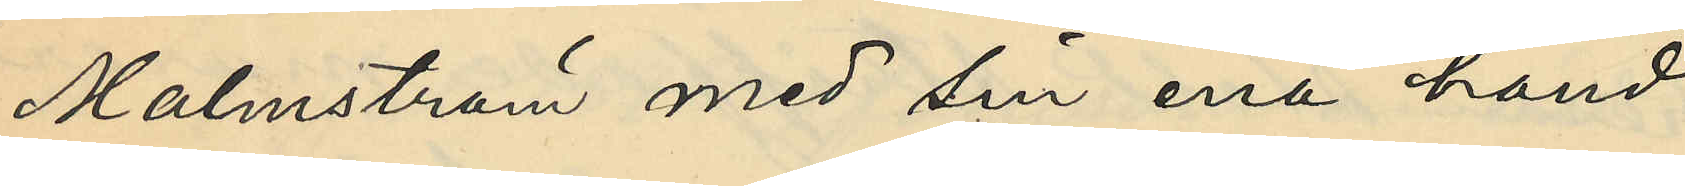Malmström med sin ena hand
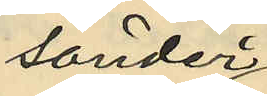sönder
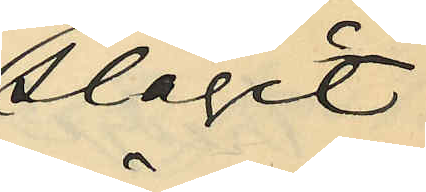slagit
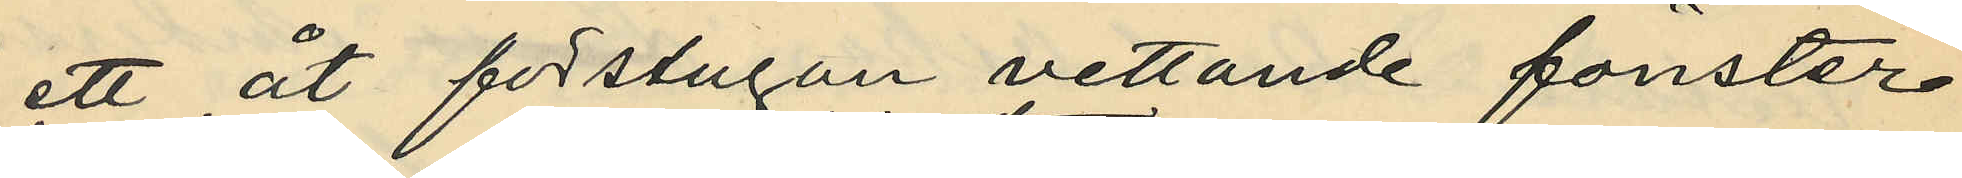ett åt förstugan vettande fönster
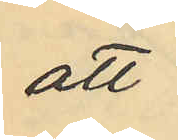att
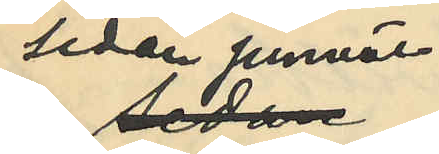sedan jemväl
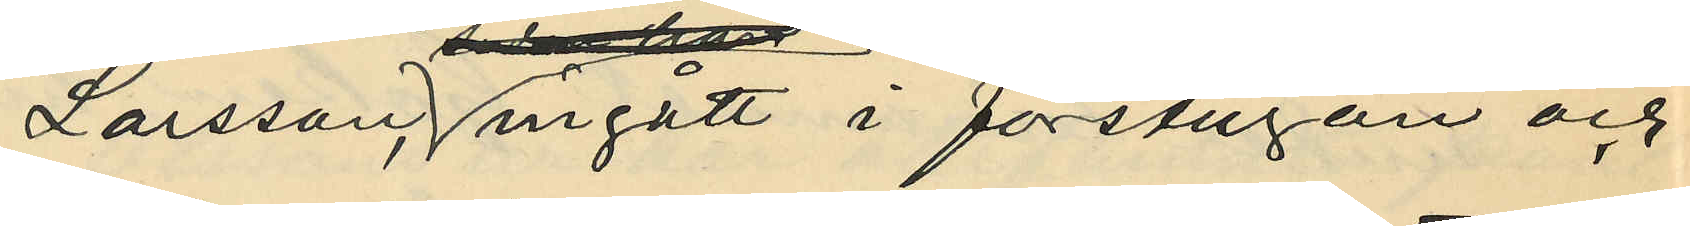Larsson, ingått i förstugan och
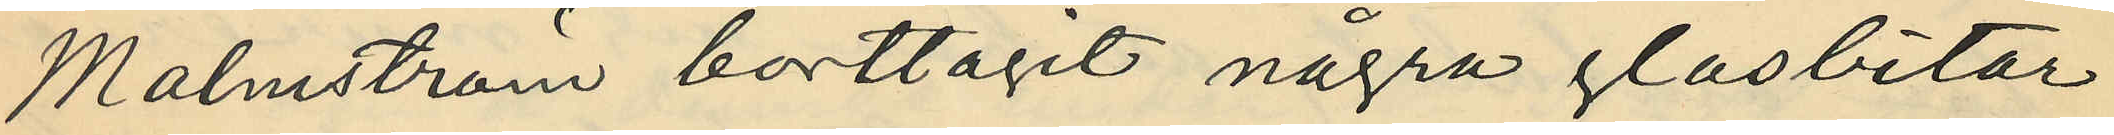Malmström borttagit några glasbitor
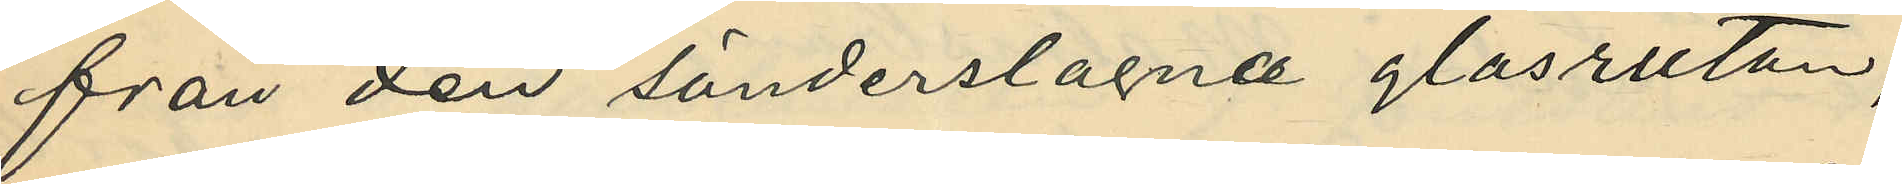från den sönderslagna glasrutan,
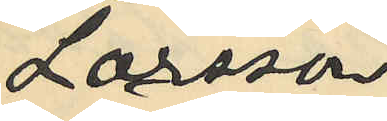Larsson
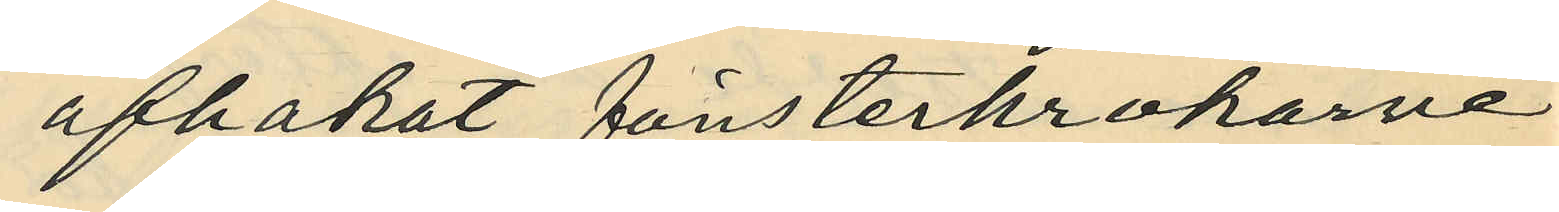afhakat fönsterkrokarne
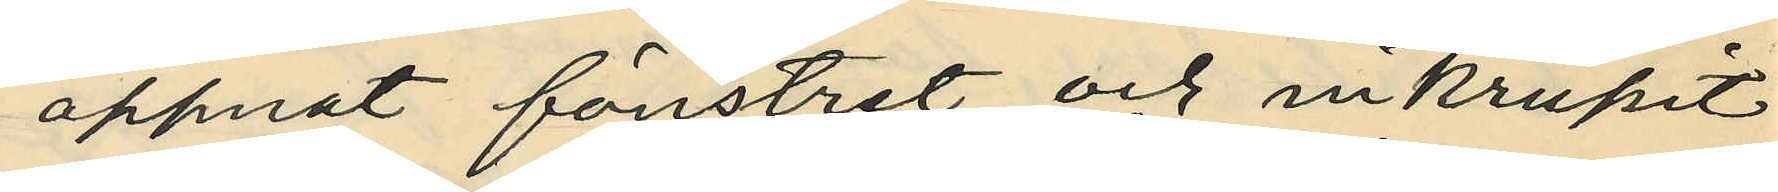öppnat fönstret och inkrupit
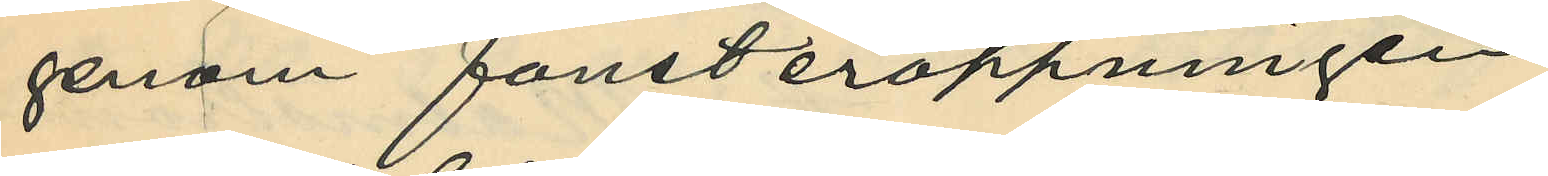genom fönsteröppningen,
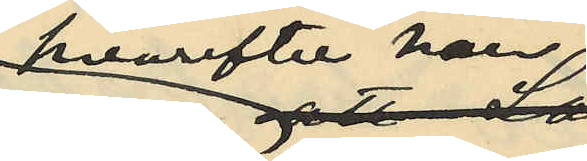hvarefter han
